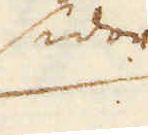sidor
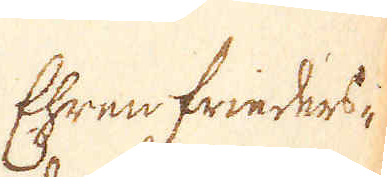Ehren frieders-
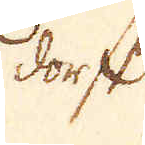dorft
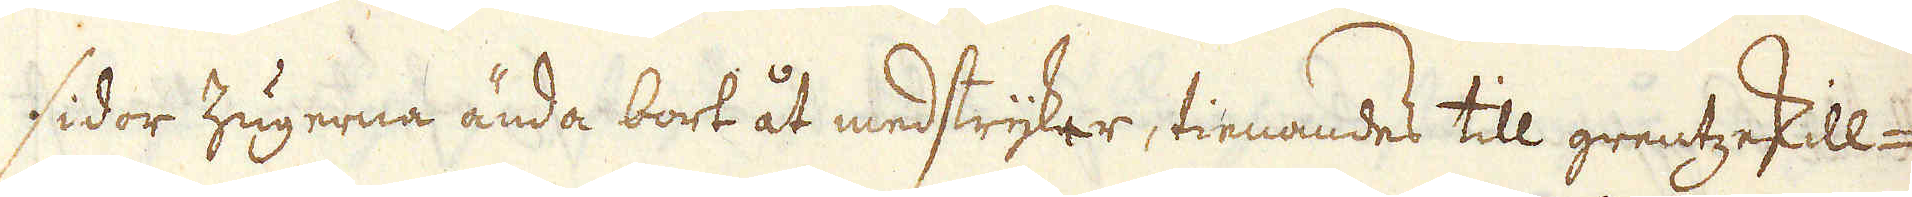sidor Zugerna ända bort åt medstryker, tienandes till grentzeskill-
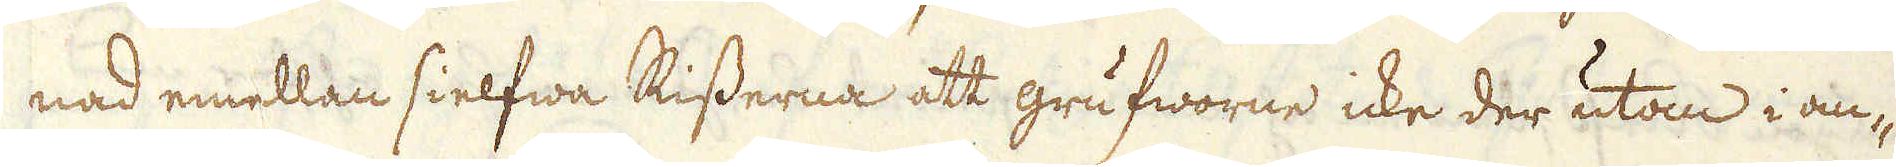nad emellan sielfwa Risserna att grufworne icke der utan i an-
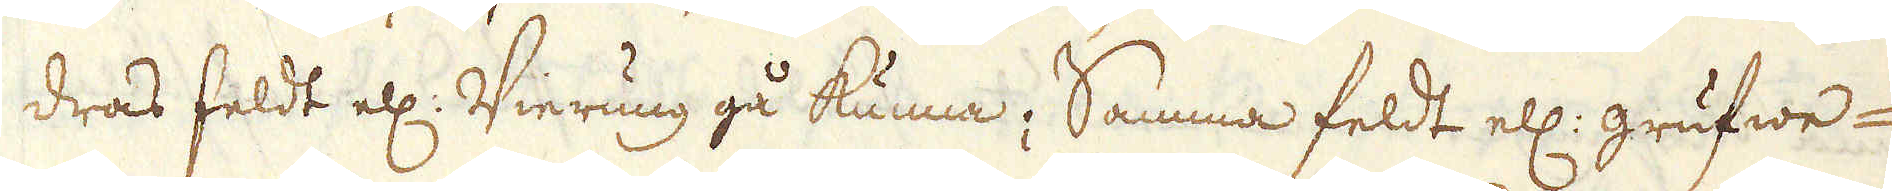dras feldt ell: Vierung gå kunna; Samma feldt ell: grufwe-
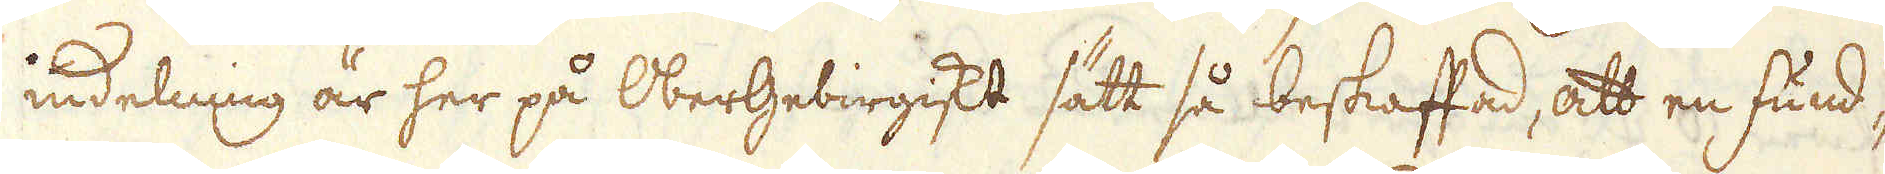indelning är her på Obergebirgiskt sätt så beskaffad, att en fund-
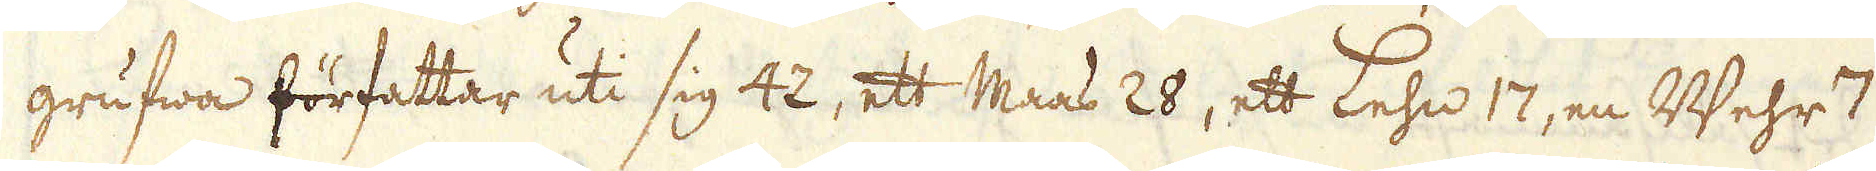grufwa författar uti sig 42, ett Maas 28, ett Lehn 17, en Wehr 7
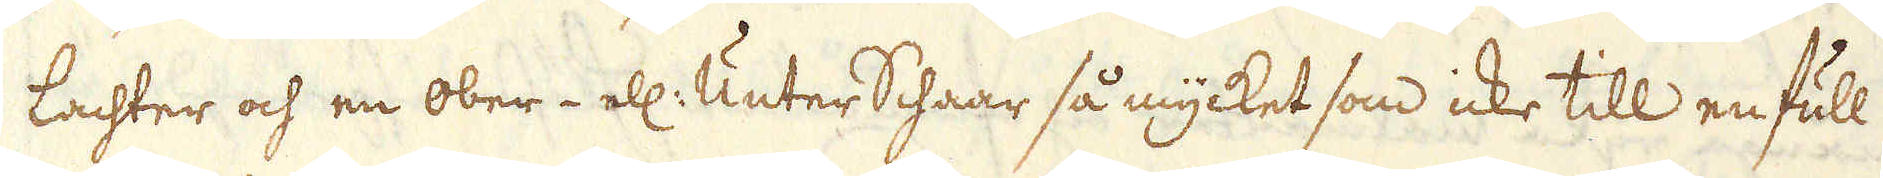lachter och en ober- ell: Unter Schaar så mycket som icke till en full
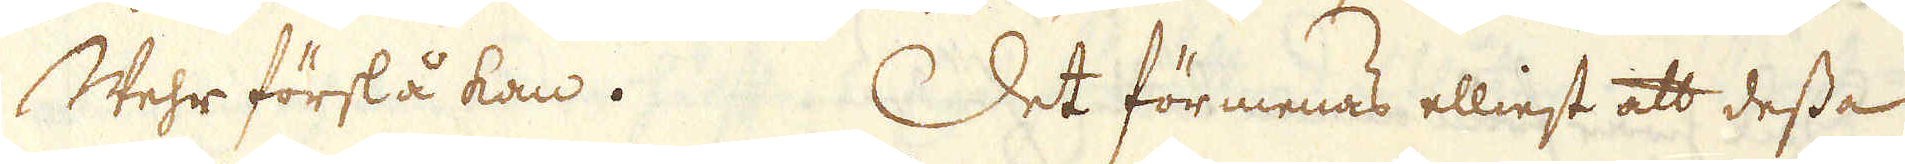Wehr förslå kan. Det förmenas elliest att dessa
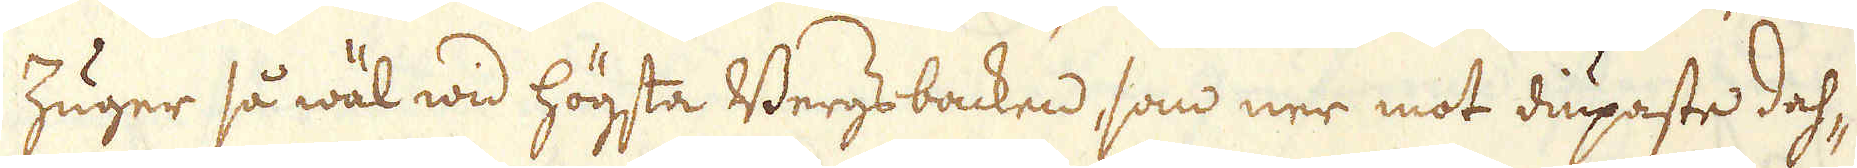Zuger så wäl wid högsta Bergs backen, som ner mot diupaste dah-
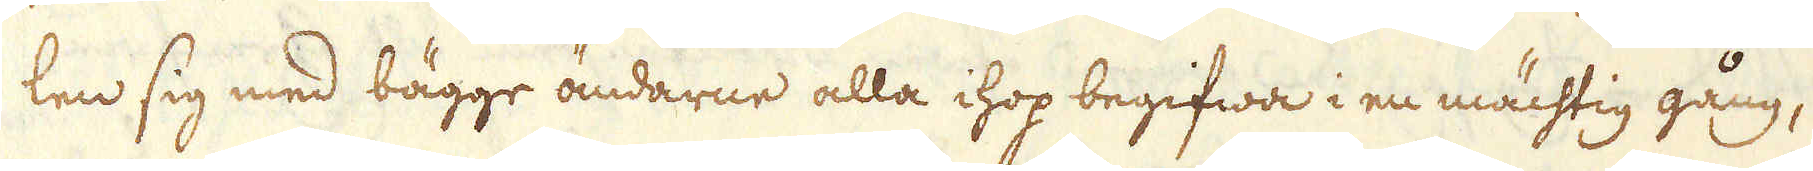len sig med bägge ändarne alla ihop begifwa i en mächtig gång,
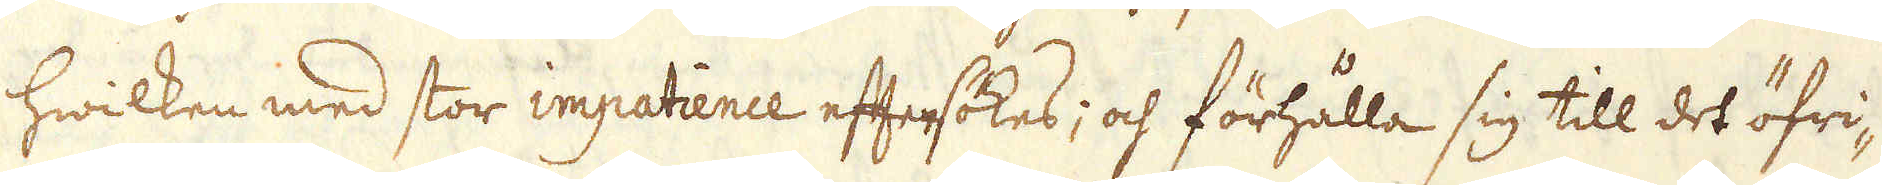hwilken med stor impatience eftersökes; och förhålla sig till det öfri-
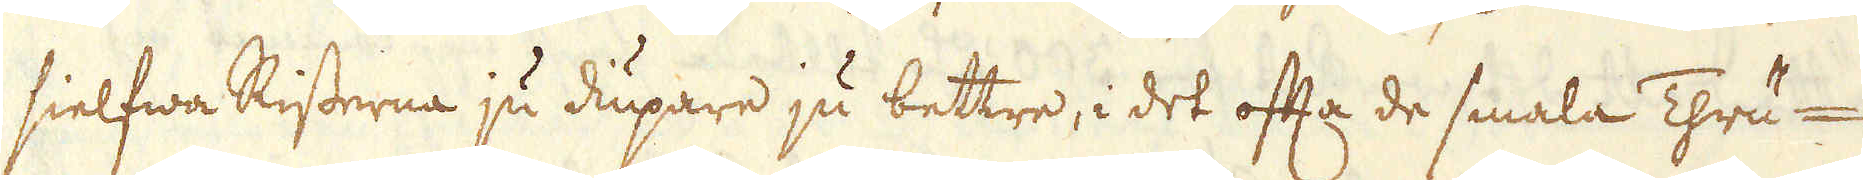sielfwa Risserna ju diupare ju bettre, i det ofta de smala Thru-
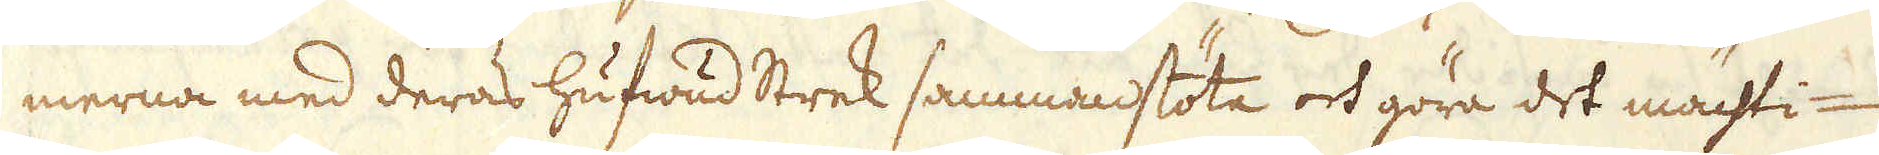merna med deras hufwud Strek sammanstöta och göra det mächti-
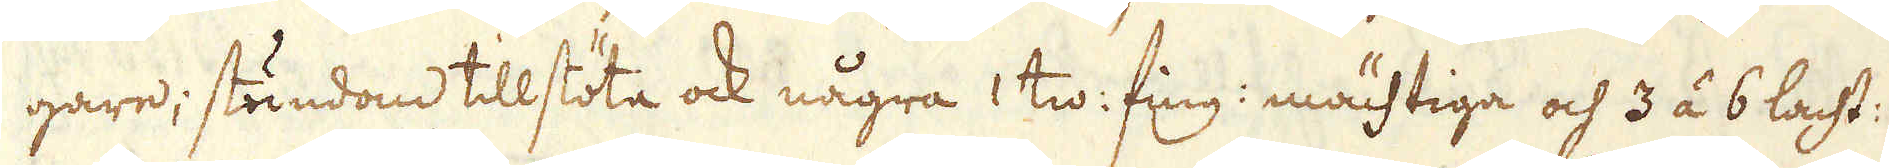gare; stundom tillstöta ock några 1 tw: fing: mächtiga och 3 á 6 lacht:
